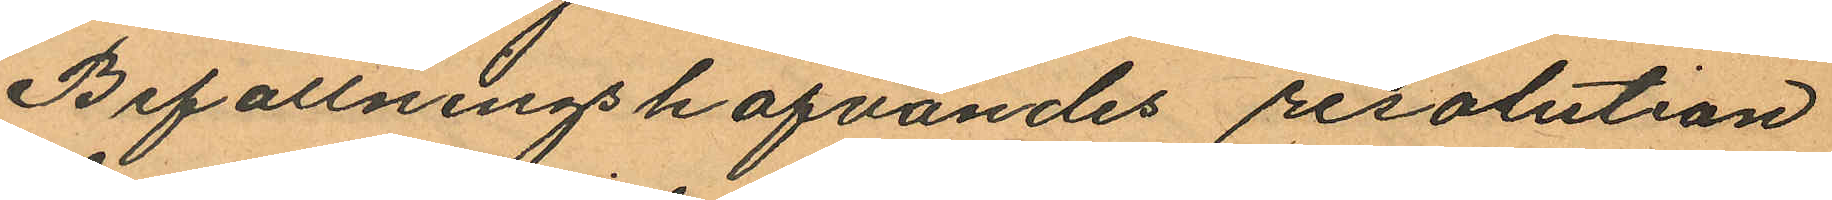Befallningshafvandes resolution
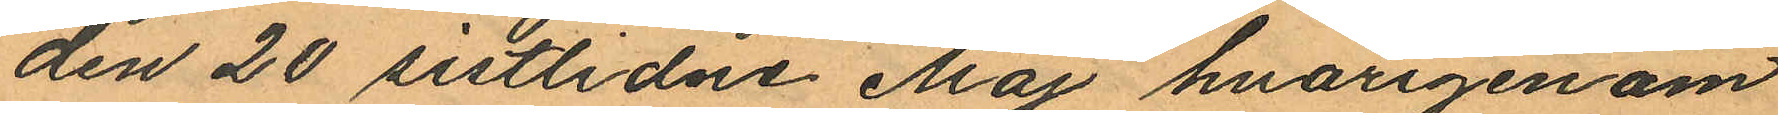den 20 sistlidne Maj hvarigenom
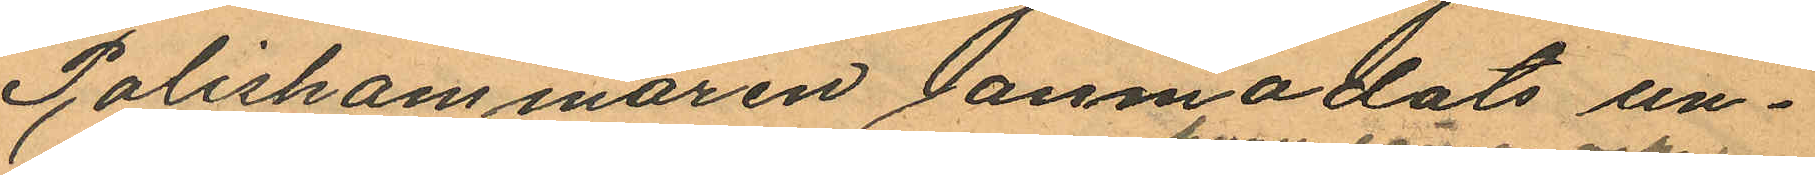Poliskammaren anmodats un¬
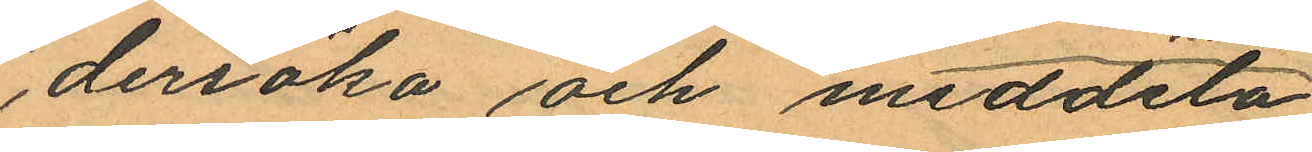dersöka och meddela
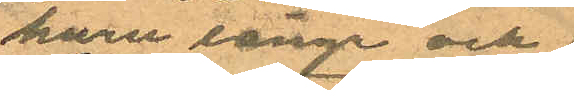huru länge och
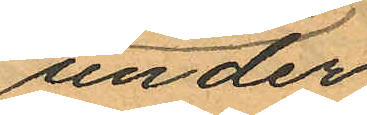under
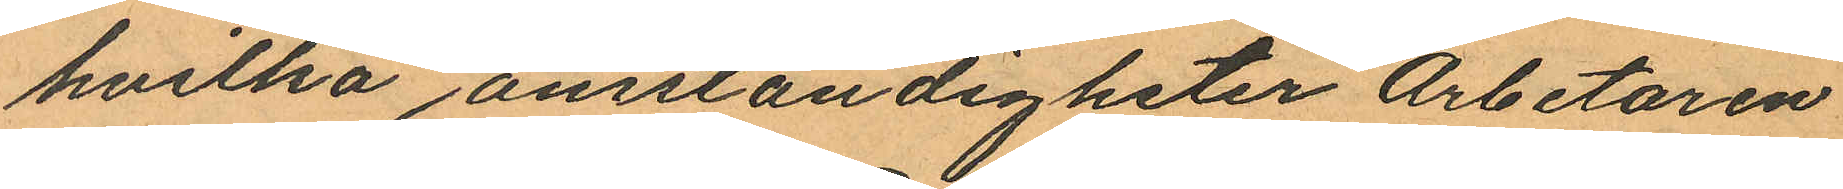hvilka omständigheter Arbetaren
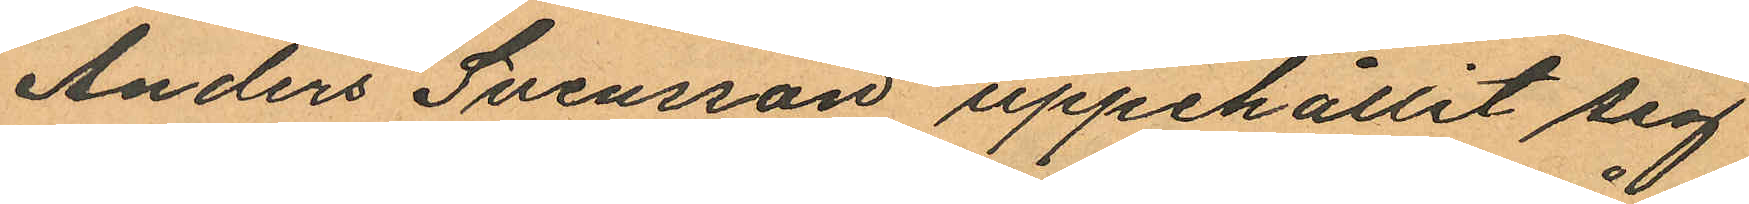Anders Svensson uppehållit sig
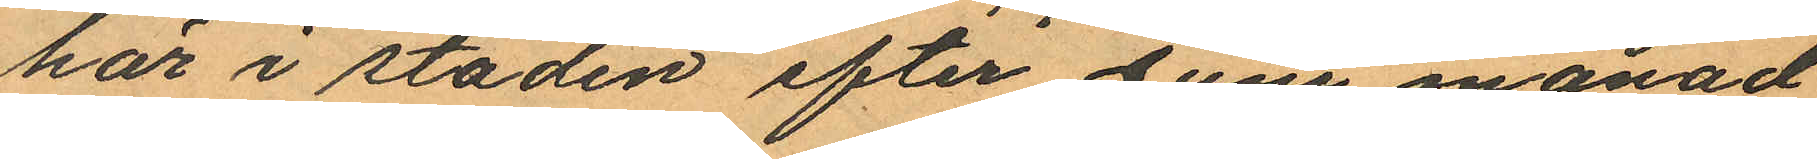här i staden efter Juni månad
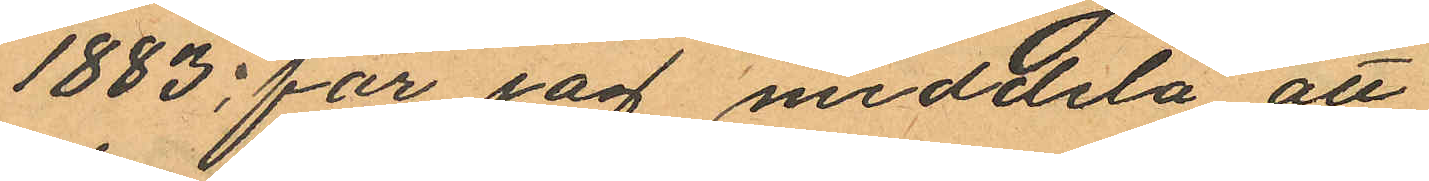1883, får jag meddela att
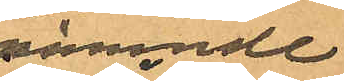nämnde
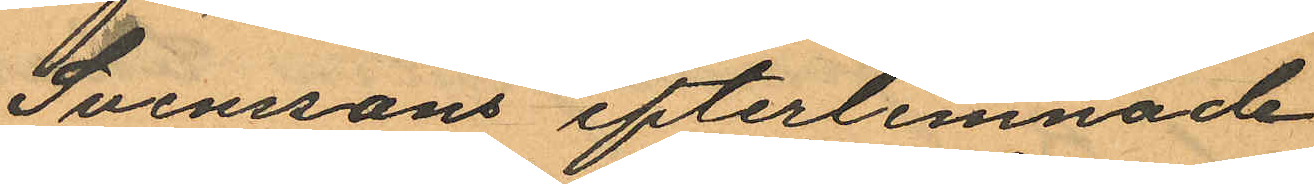Svenssons efterlemnade
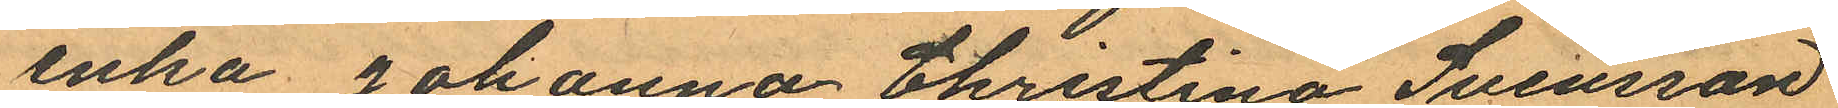enka Johanna Christina Svensson
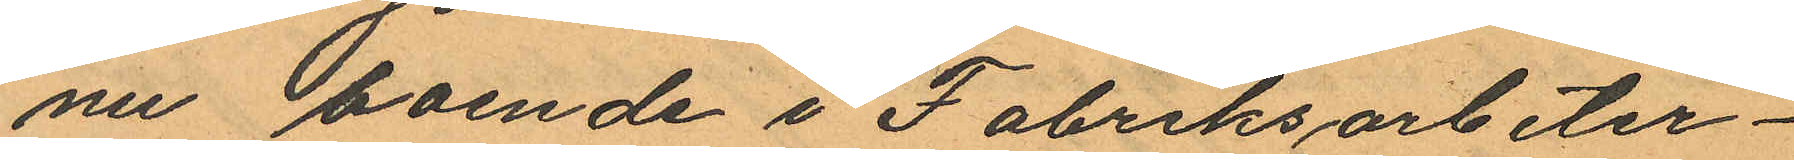nu boende i Fabriksarbeter¬
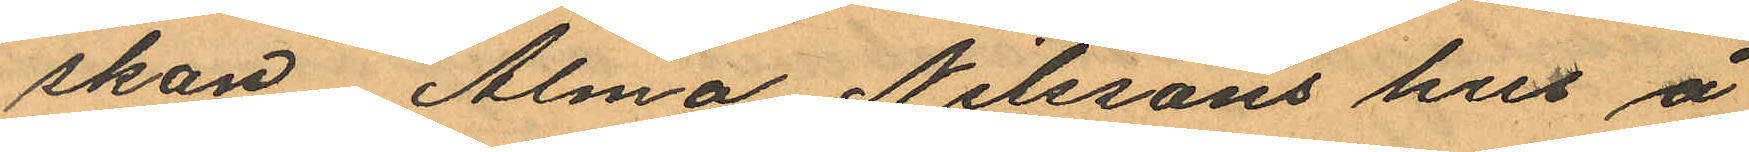skan Alma Nilssons hus å
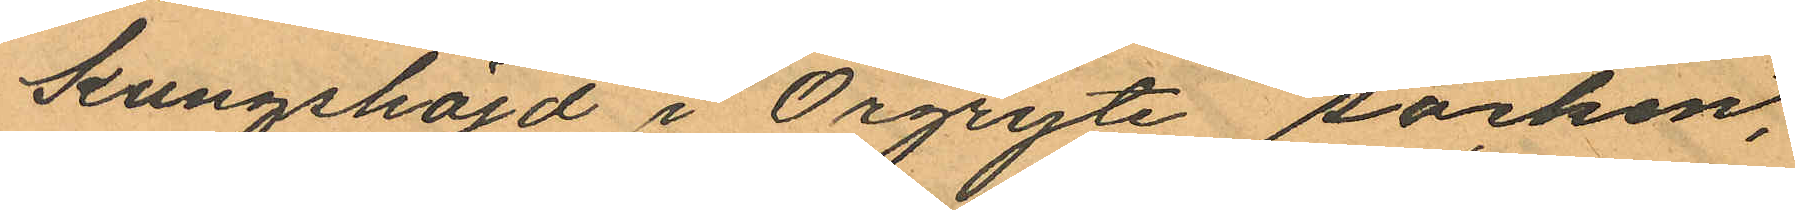Kungshöjd i Örgryte socken,
